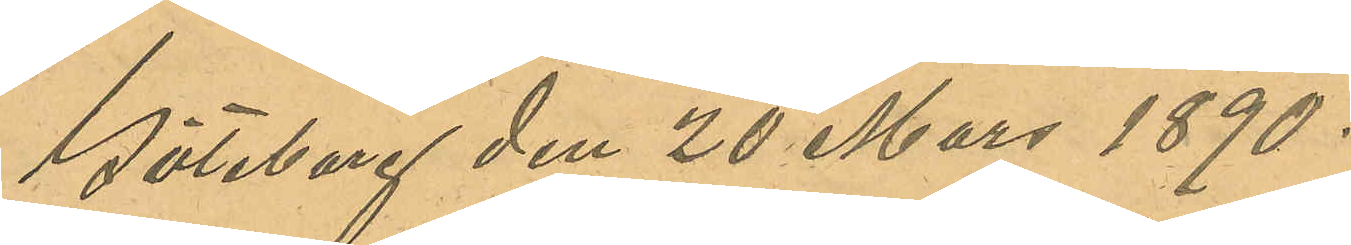Göteborg den 20 Mars 1890.
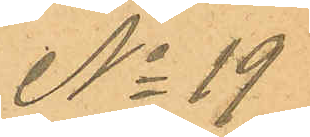No 19
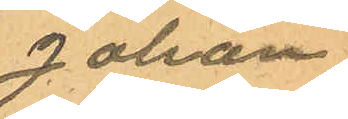Johan
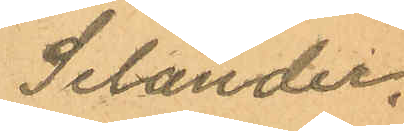Selander.
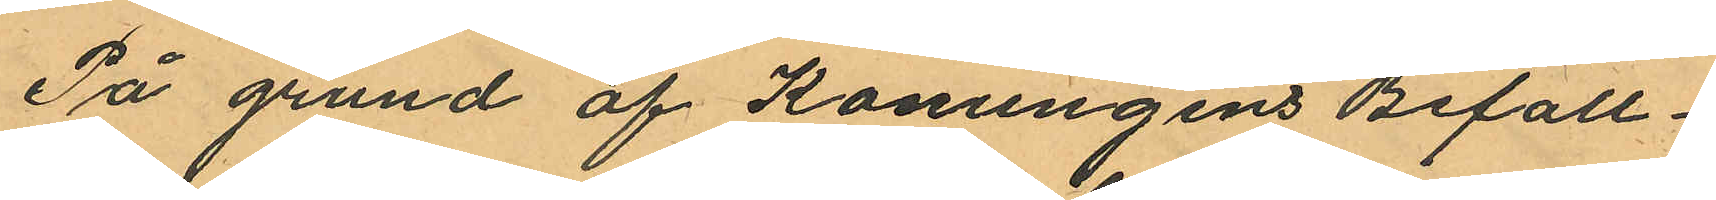På grund af Konungens Befall¬
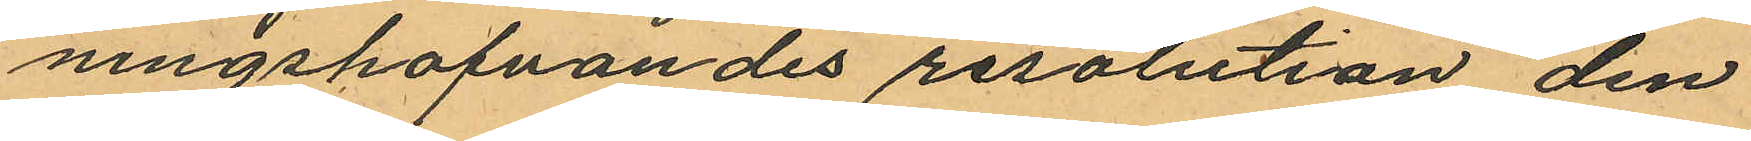ningshafvandes resolution den
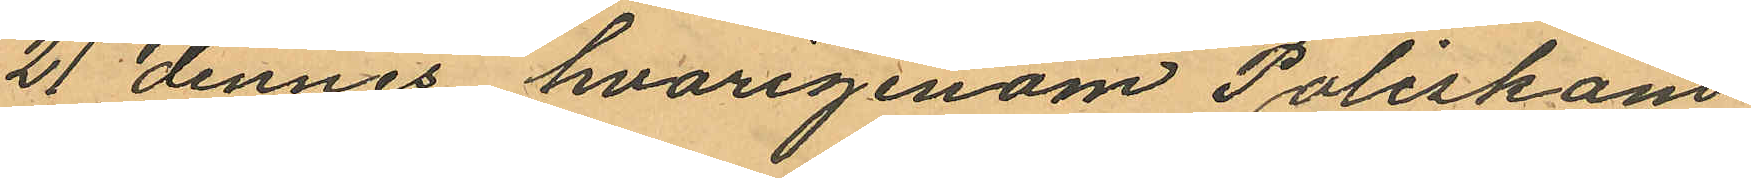21 dennes hvarigenom Poliskam¬
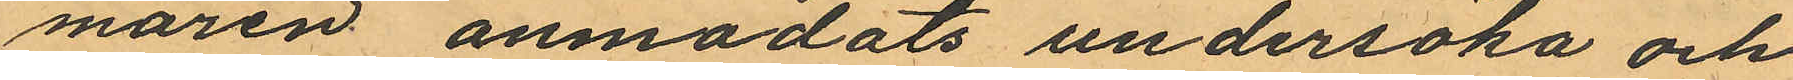maren anmodats undersöka och
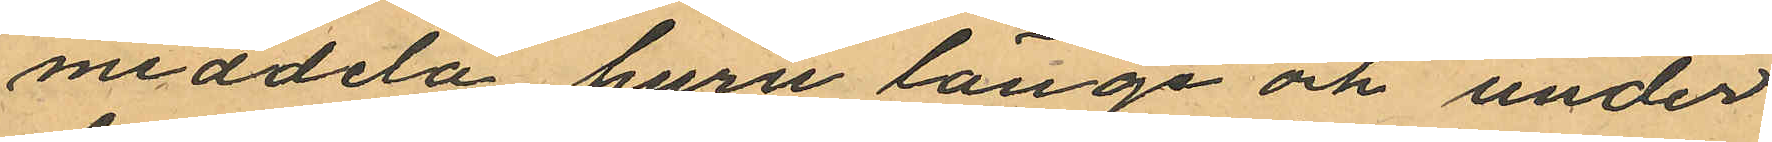meddela, huru länge och under
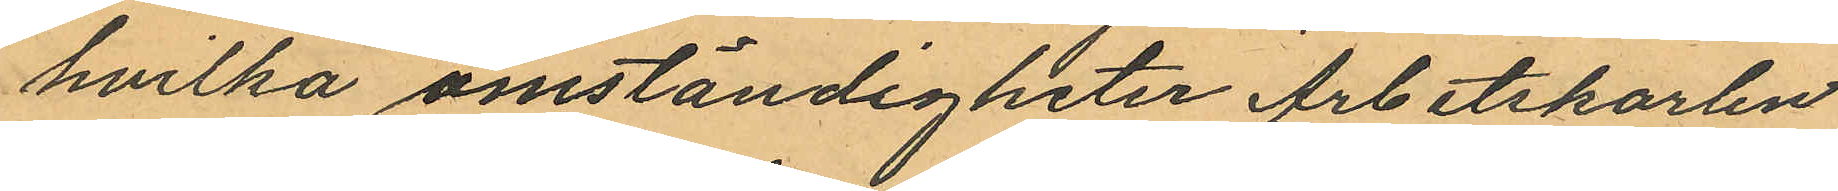hvilka omständigheter Arbetskarlen
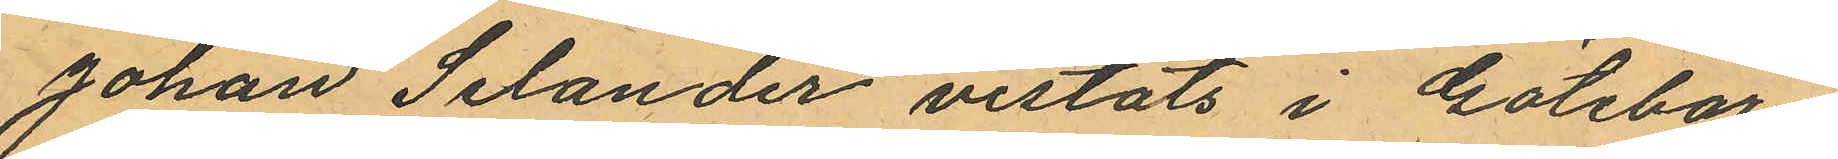Johan Selander vistats i Göteborg
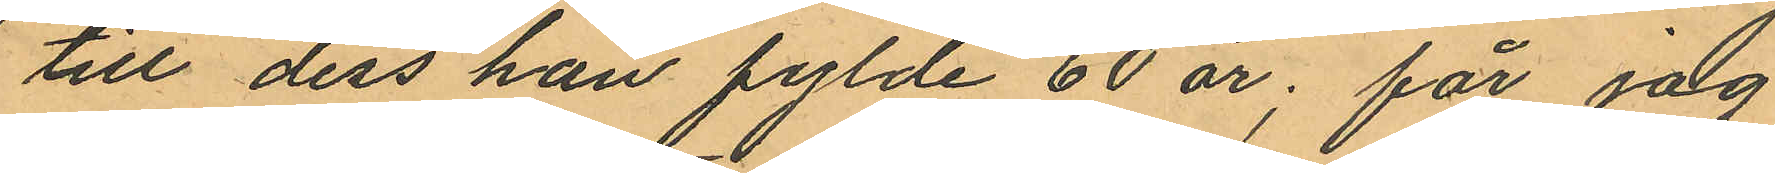till dess han fylde 60 år; får jag
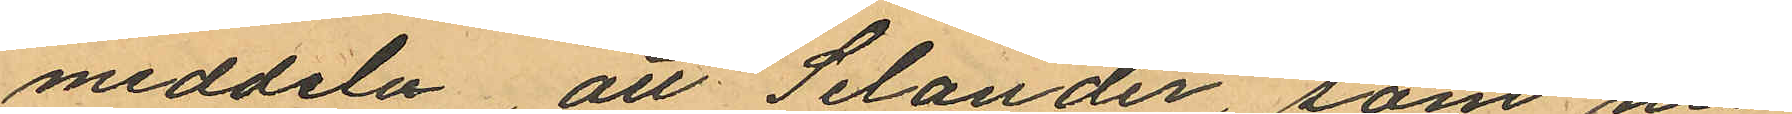meddela, att Selander, som nu
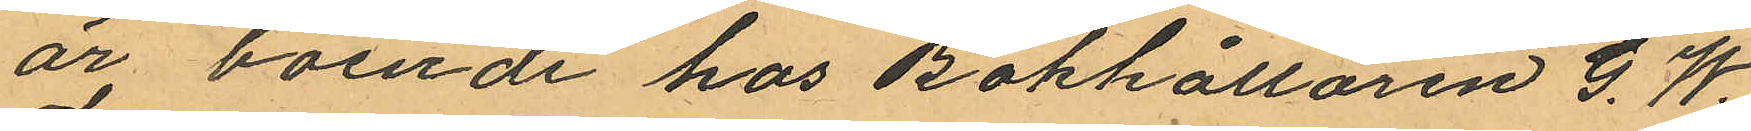är boende hos Bokhållaren G. W.
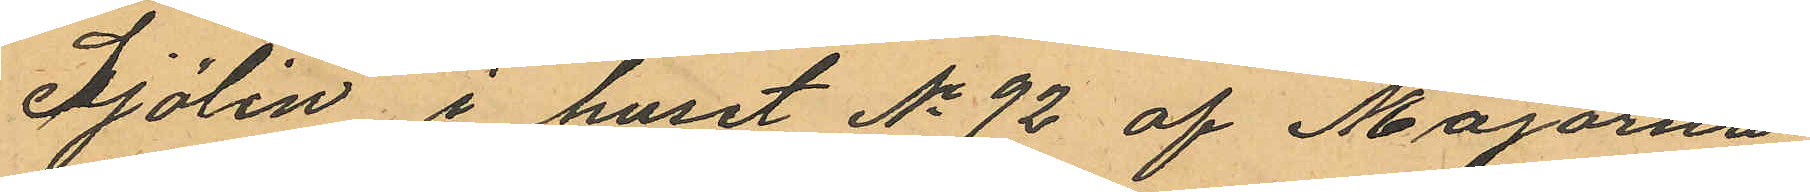Sjölin i huset No 92 af Majornas
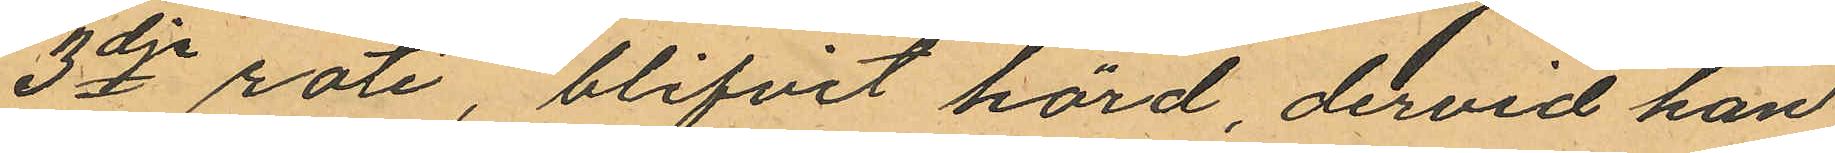3dje rote, blifvit hörd, dervid han
